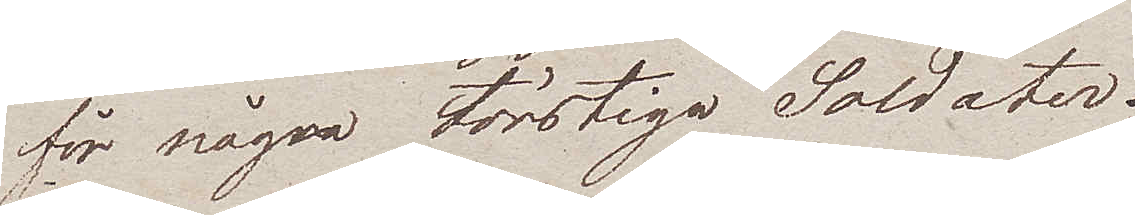för några törstiga Soldater.
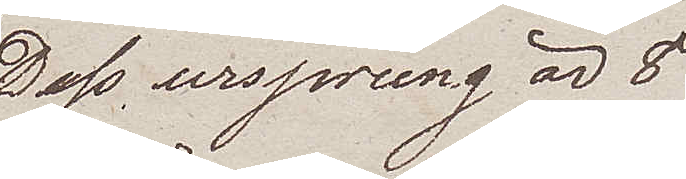Dess ursprung är 8
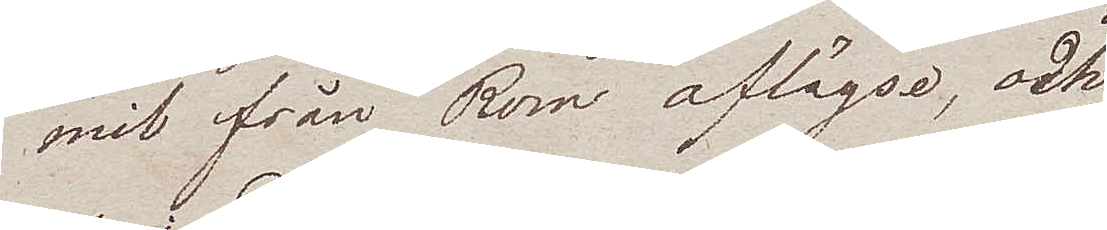mil från Rom aflägse, och
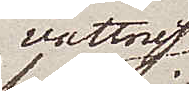vattnet
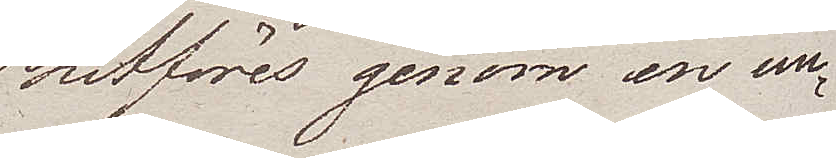hitföres genom en un¬
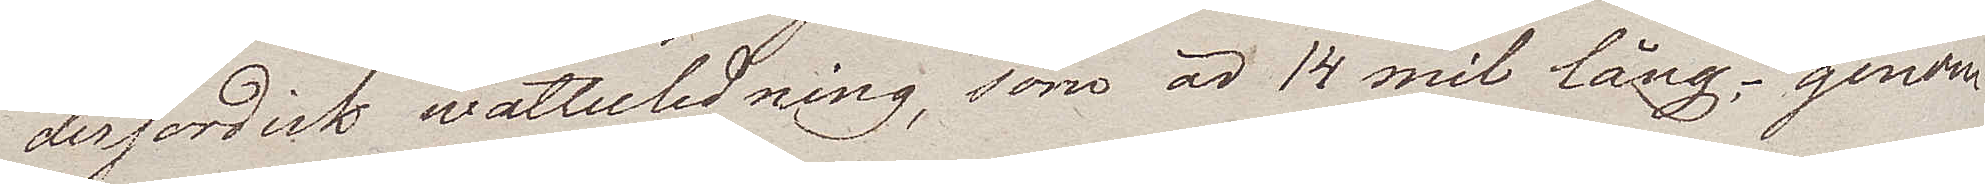derjordisk wattenledning, som är 14 mil lång, genom
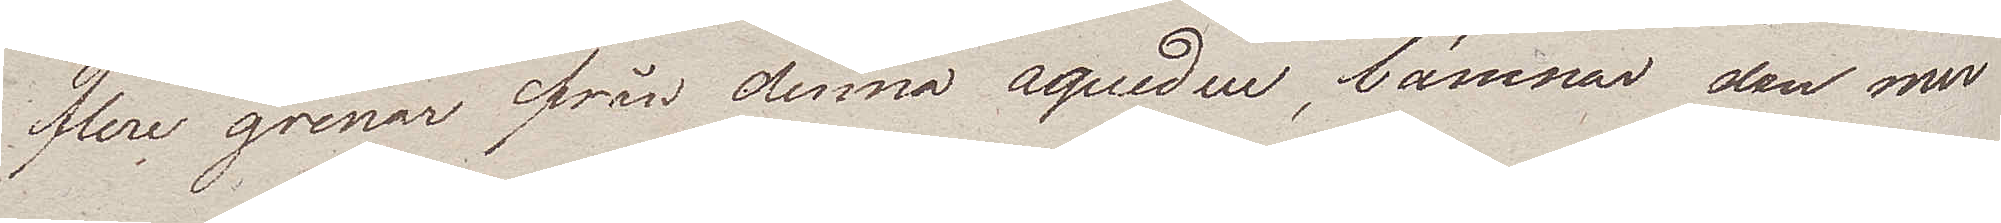flere grenar från denna aqueden, lämnar den mer
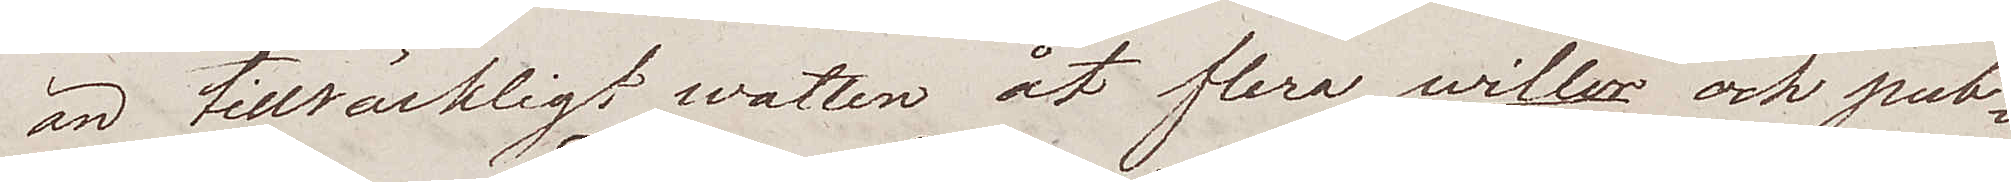än tillräckligt watten åt flera willor och pub¬
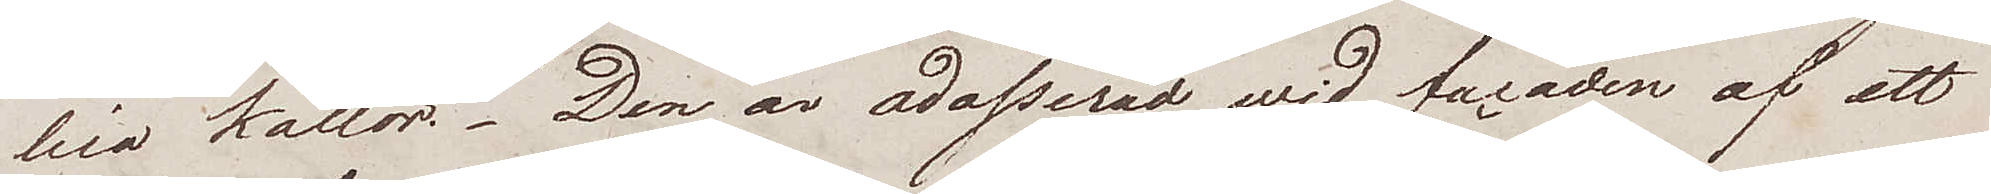lica källor. Den är adosserad wid facaden af ett
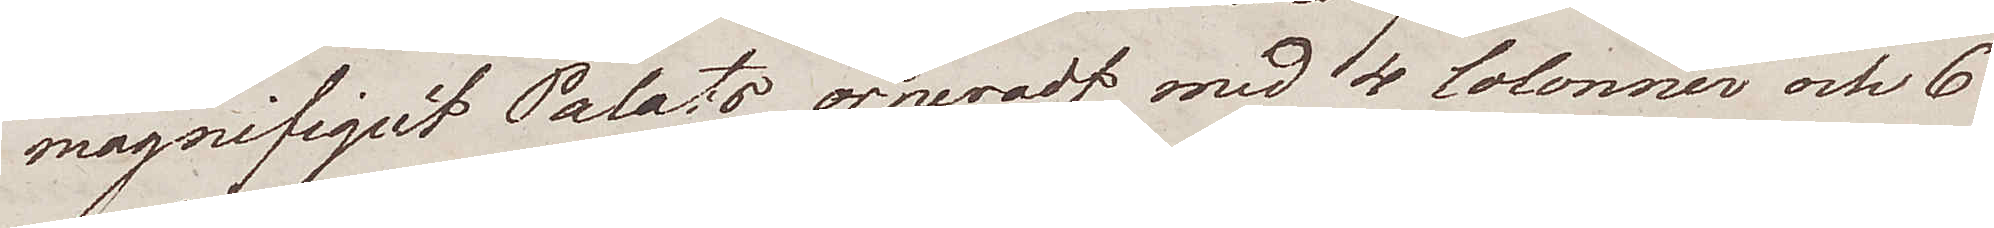magnifiquet Palats orneradt med 4 Colonner och 6
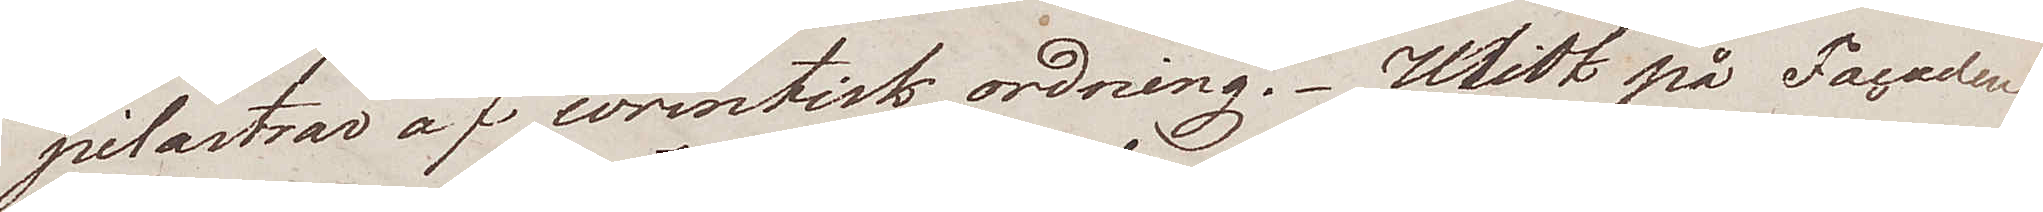pilastrar af corintisk ordning. Midt på Facaden
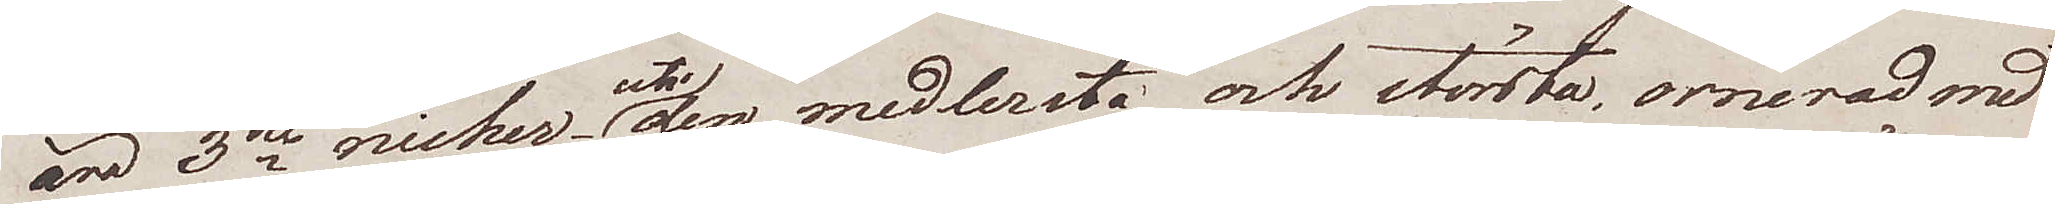äro 3ne nicher uti den medlersta och största, ornerad med
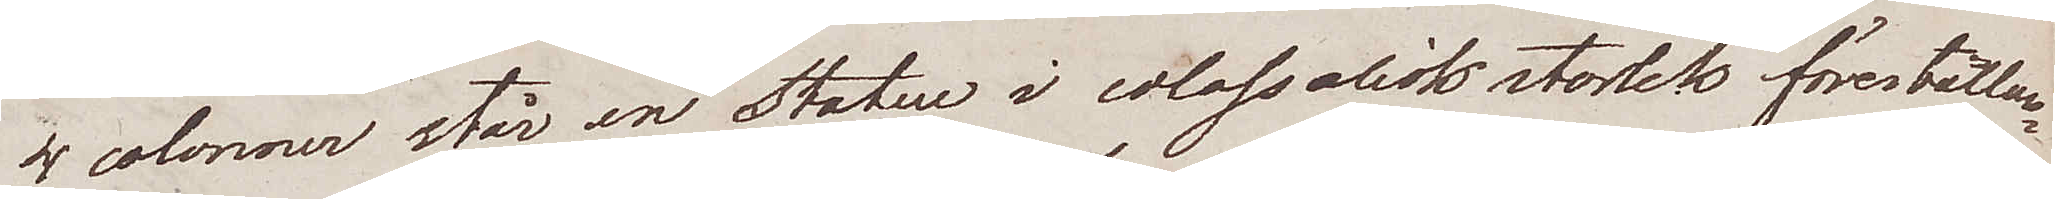4 colonner står en Statue i colossalisk storlek föreställan¬
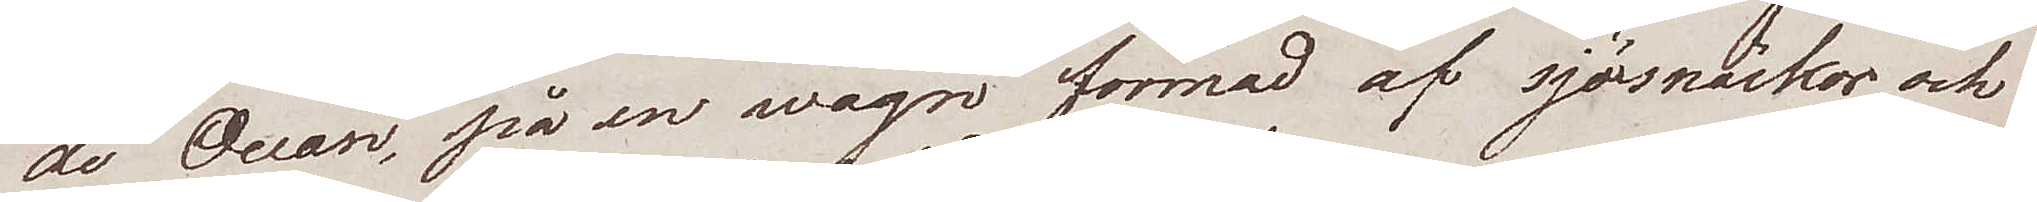de Ocean, på en wagn formad af sjösnäckor och
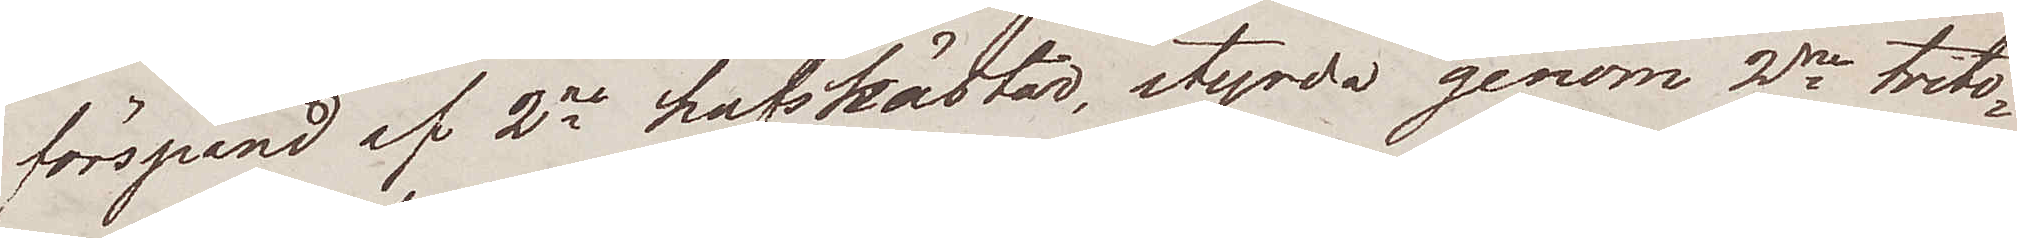förspänd af 2ne hafshästar styrda genom 2ne trito¬
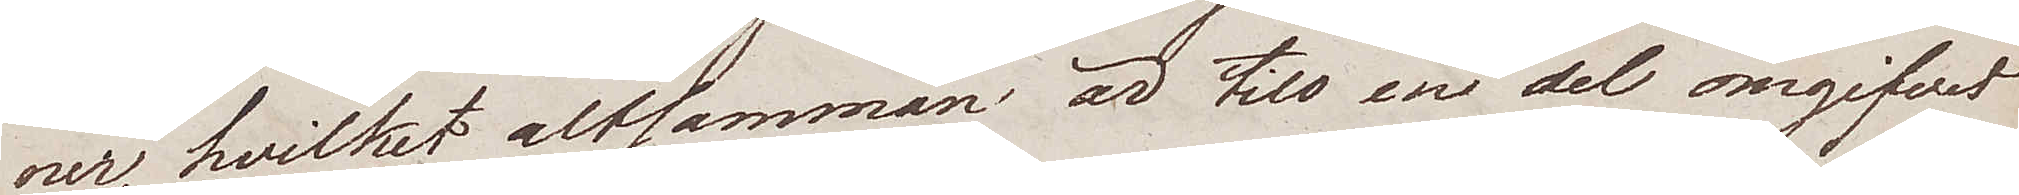ner, hvilket altsamman är till en del omgifvet
